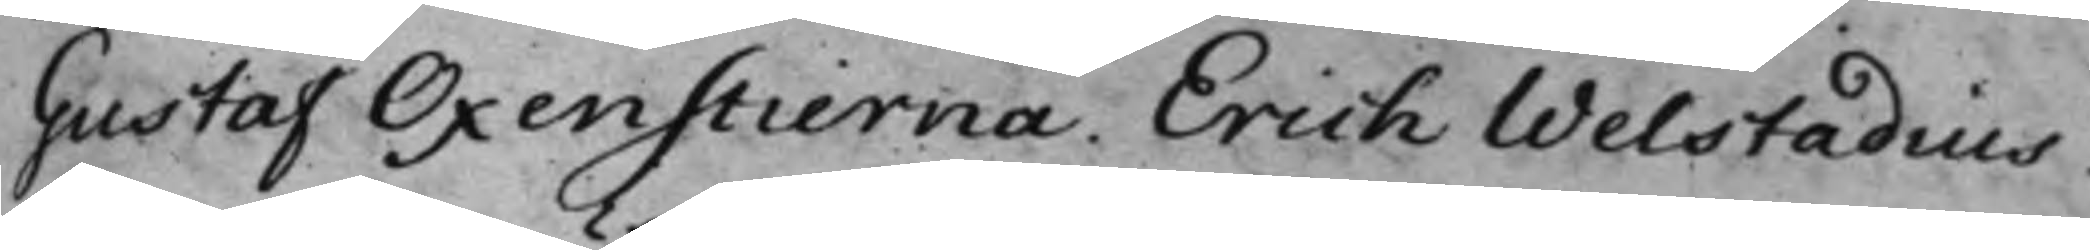Gustaf Oxenstierna. Erich Welstadius.
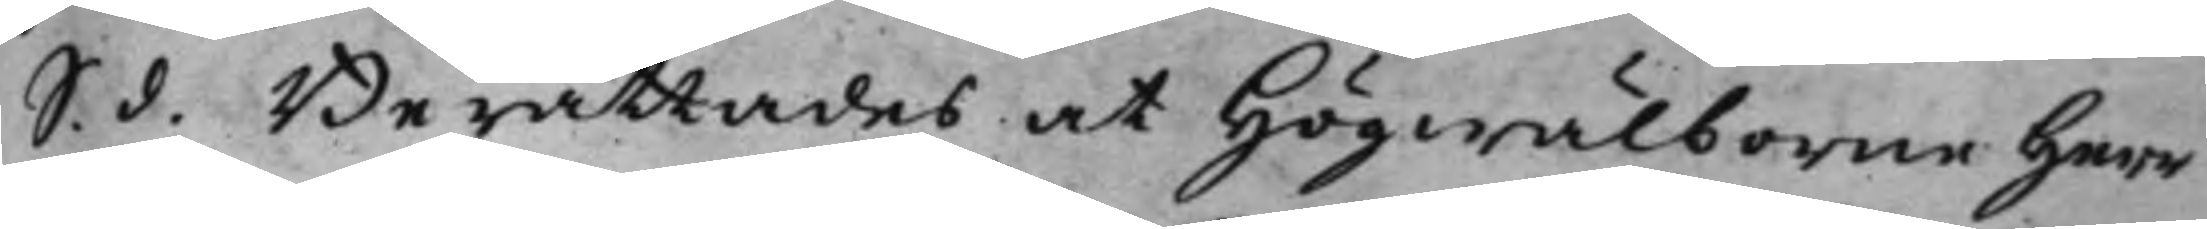S. d. Berättades at Högwälborne Herr
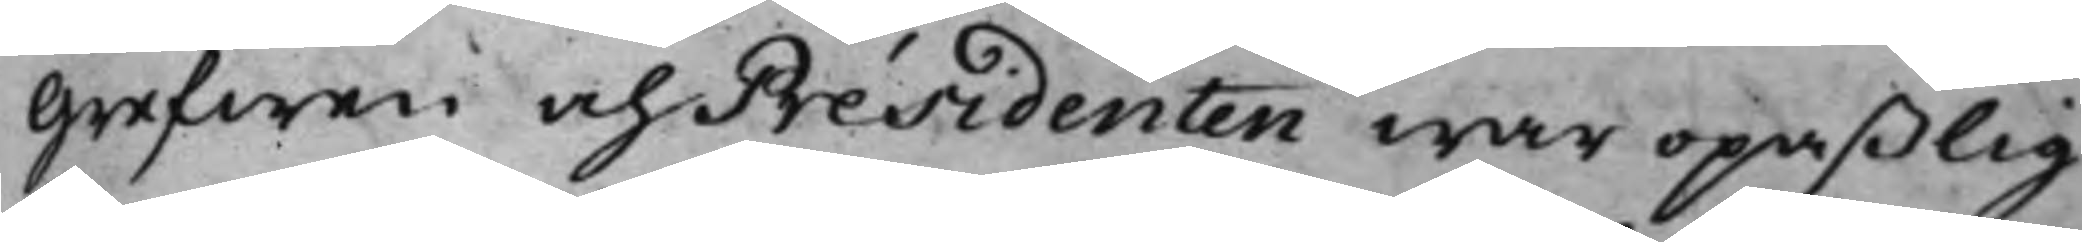Grefwen och Présidenten war opaßlig.
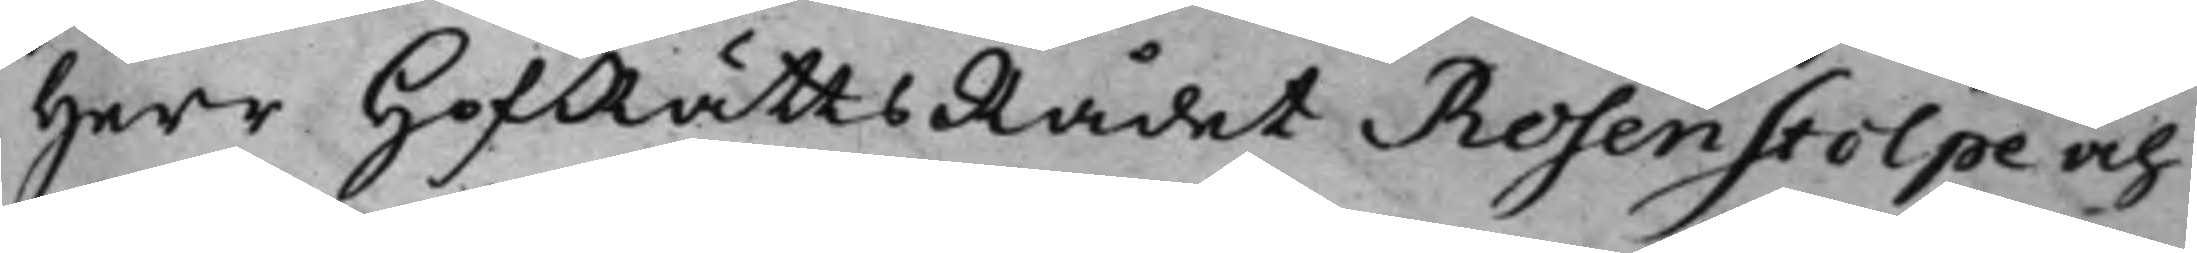Herr HofRättsRådet Rosenstolpe och
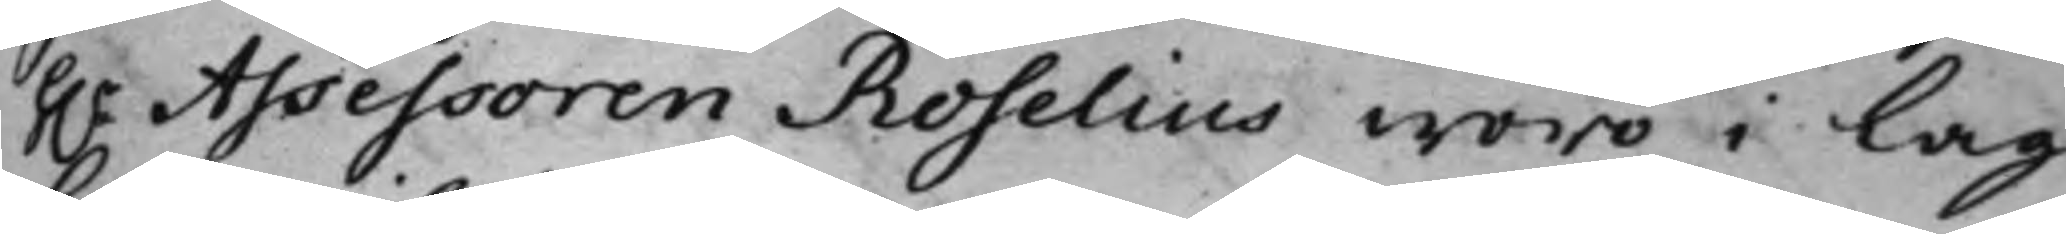h.r Assessoren Roselius woro i Lag¬
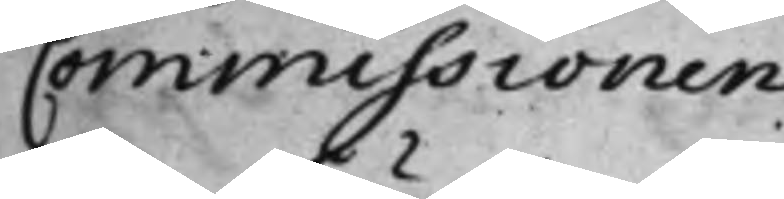Commissionen.
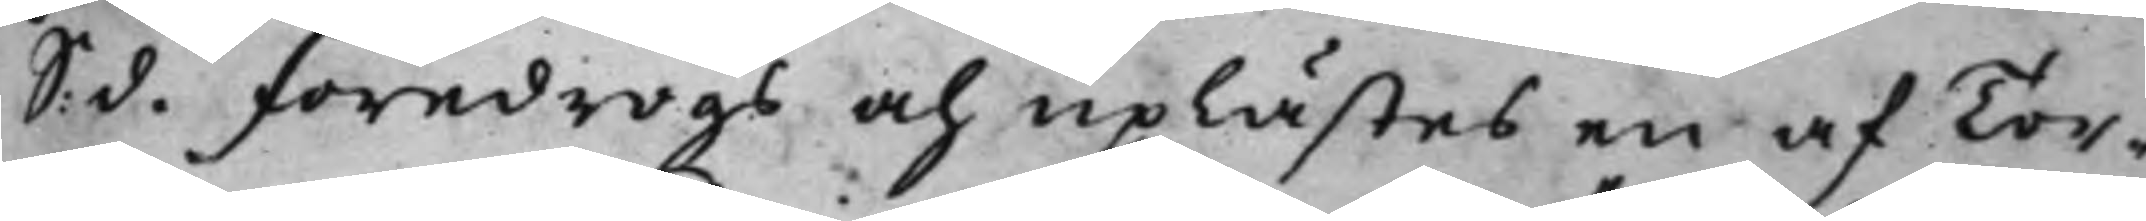S. d. föredrogs och uplästes en af Tor¬
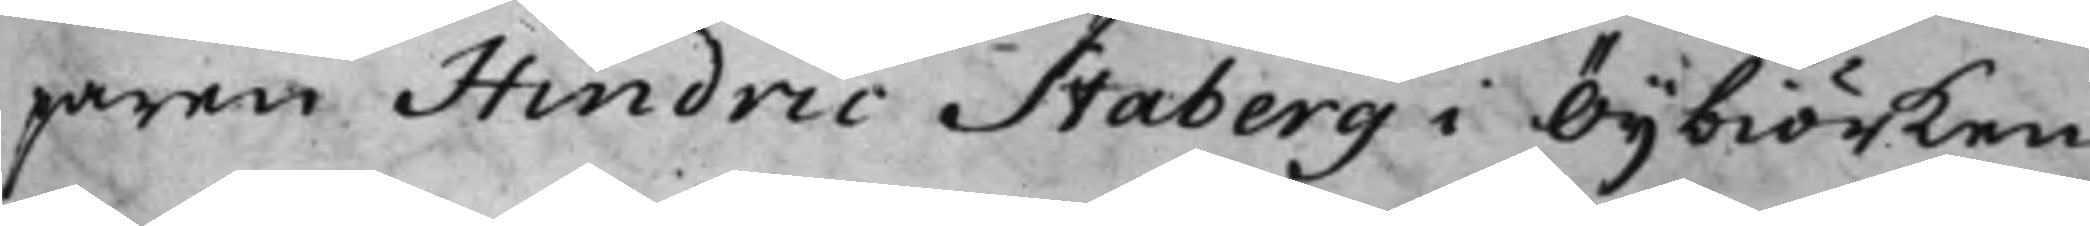paren Hindric Staberg i Öijbiörken,
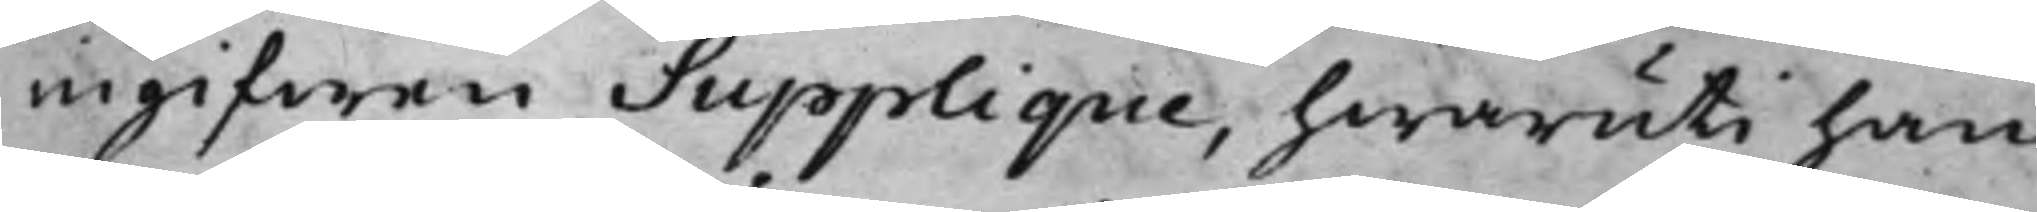ingifwen Supplique, hwaruti han
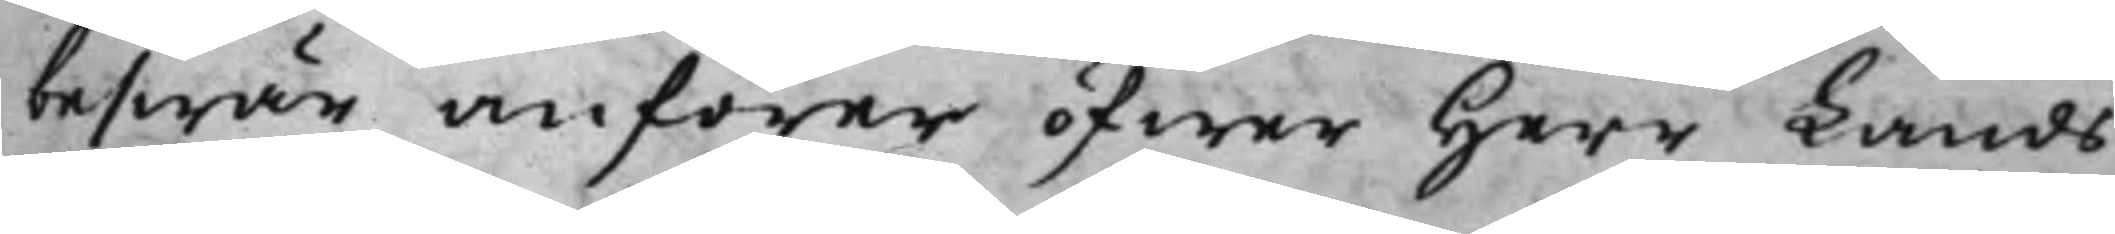beswär anförer öfwer Herr Lands¬
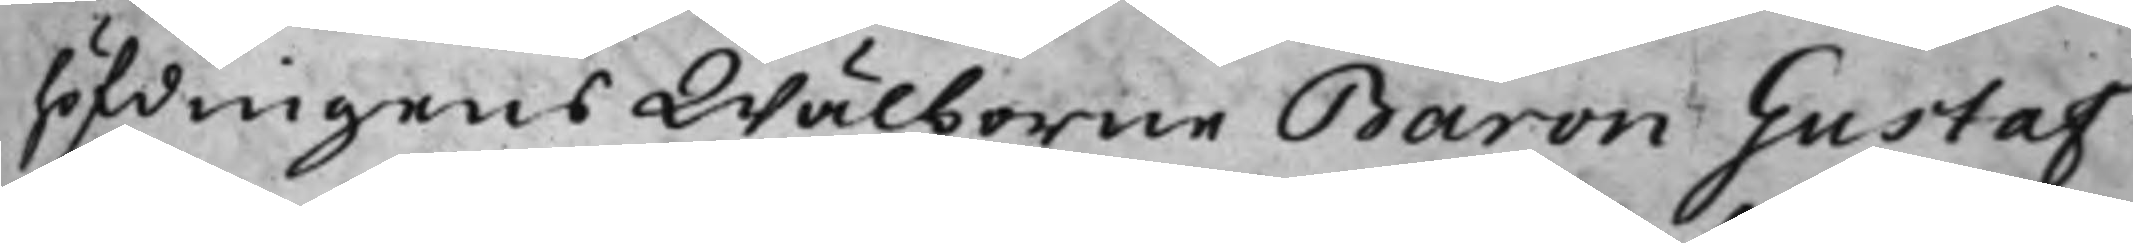höfdingens Wälborne Baron Gustaf
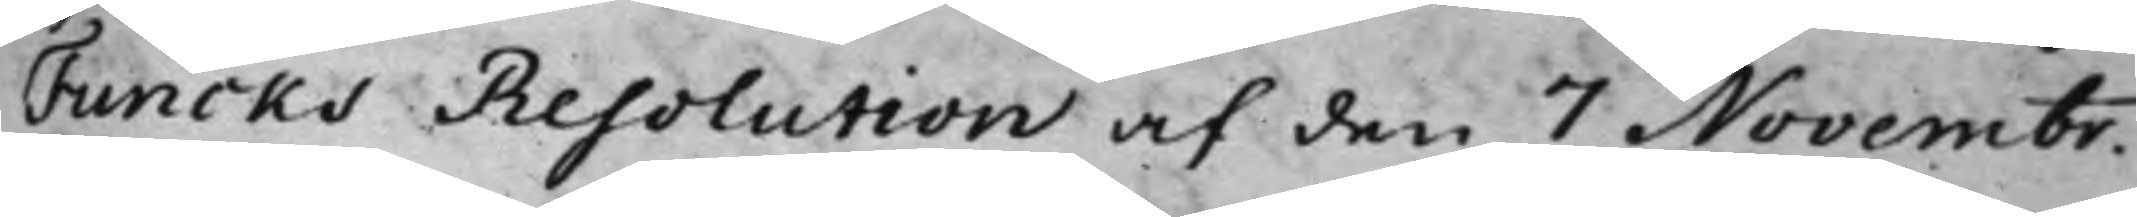Funcks Resolution af den 7 Novembr.
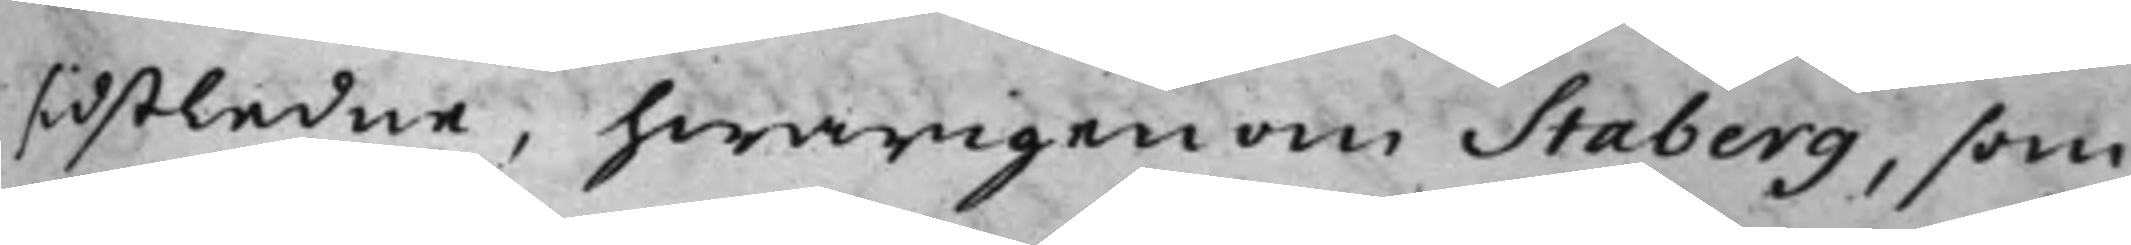sidstledne, hwarigenom Staberg, som
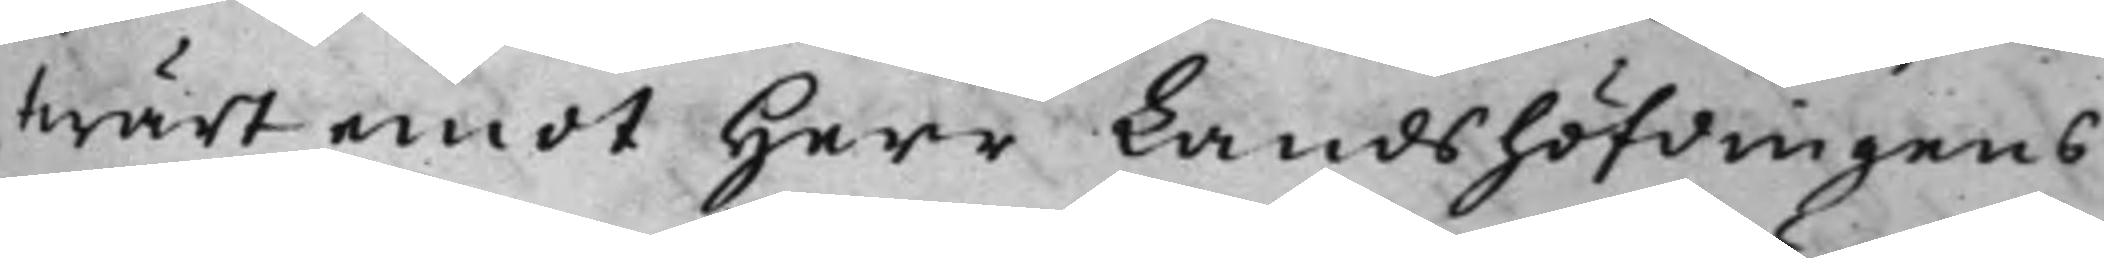twärt emot Herr Landshöfdingens
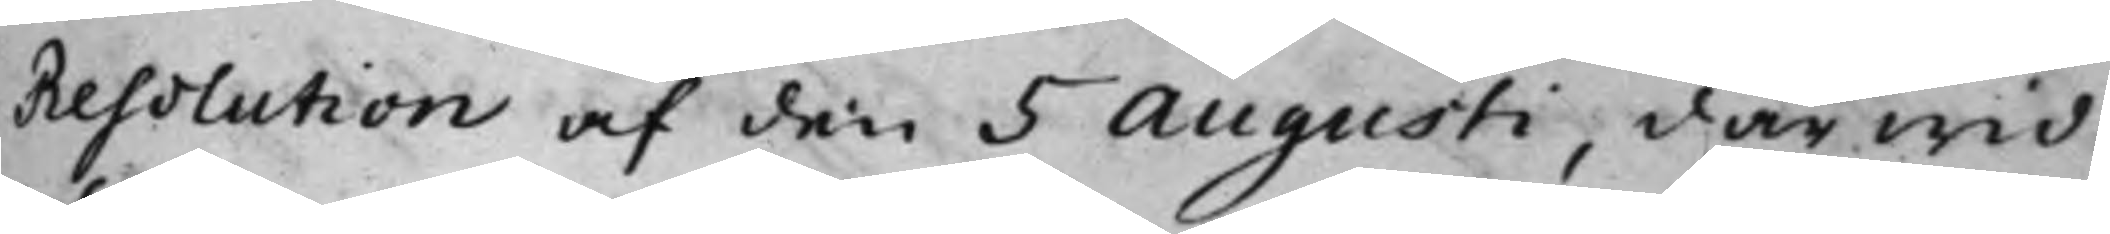Resolution af den 5 Augusti, därwid
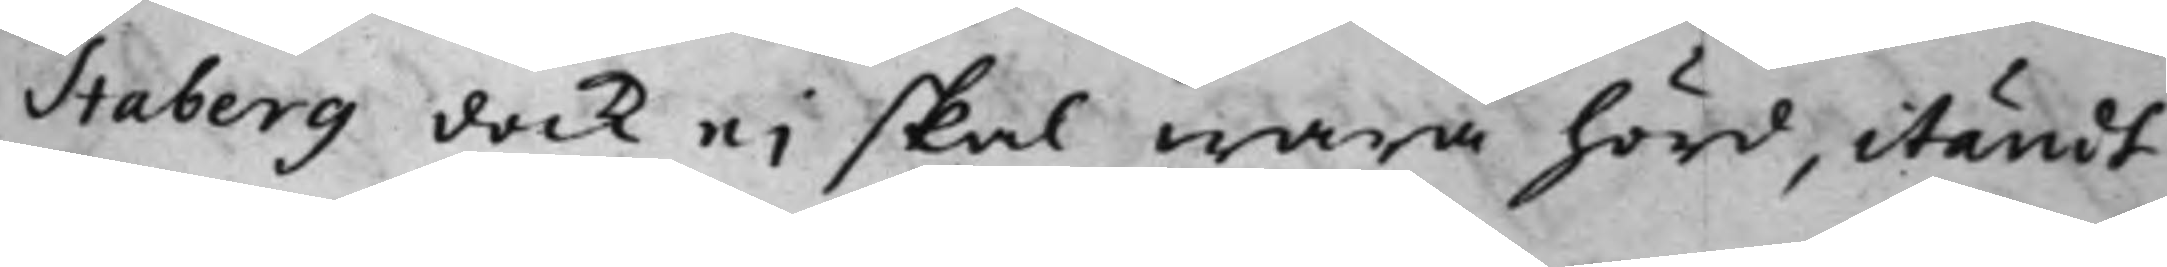Staberg dock ej skal wara hörd, itändt
